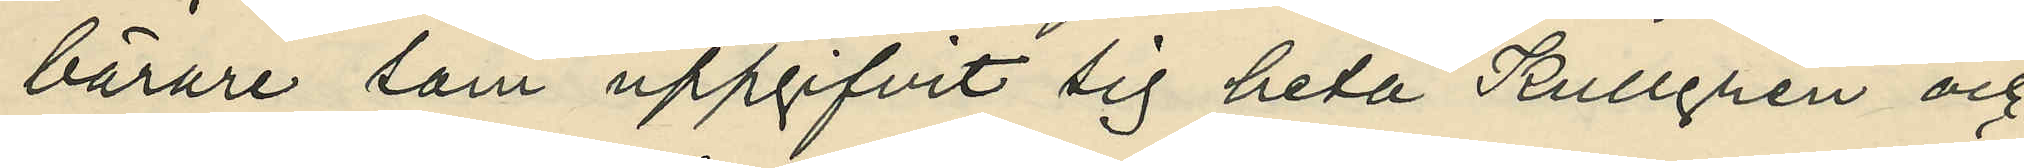bärare som uppgifvit sig heta Kullgren och
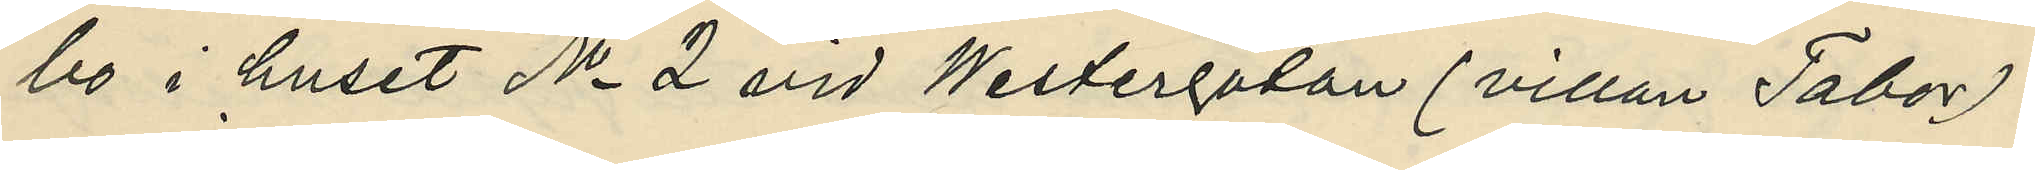bo i huset No 2 vid Westergatan (villan Tabor).
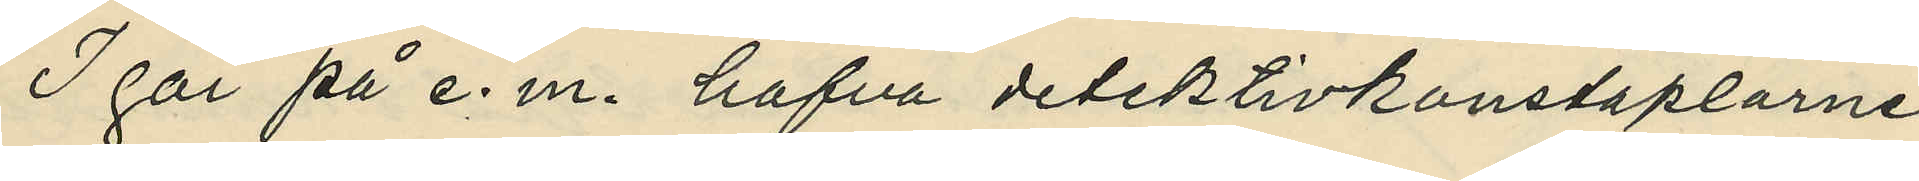I går på e. m. hafva detektivkonstaplarne
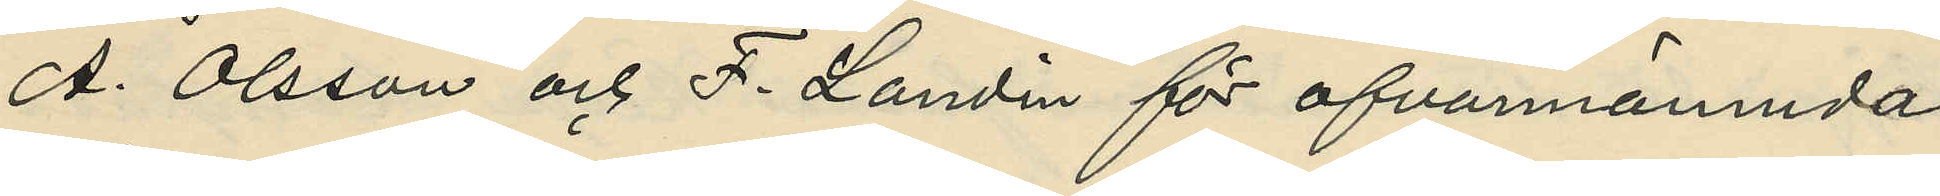A. Olsson och F. Landin för ofvannämnda
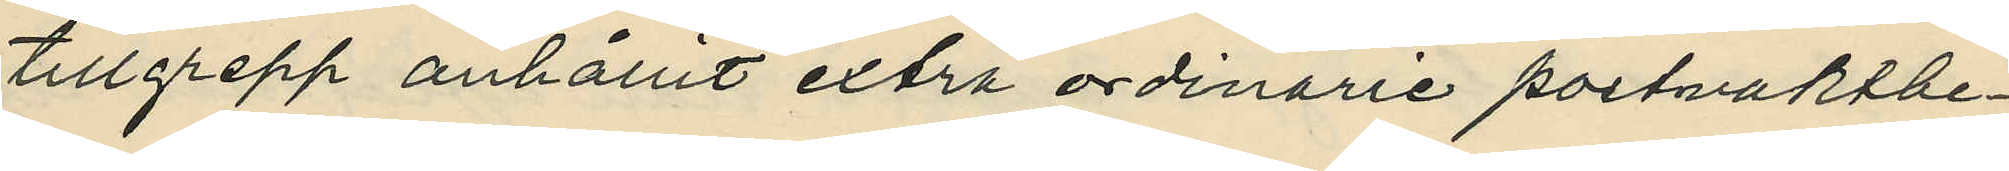tillgrepp anhållit extra ordinarie portvaktbe¬
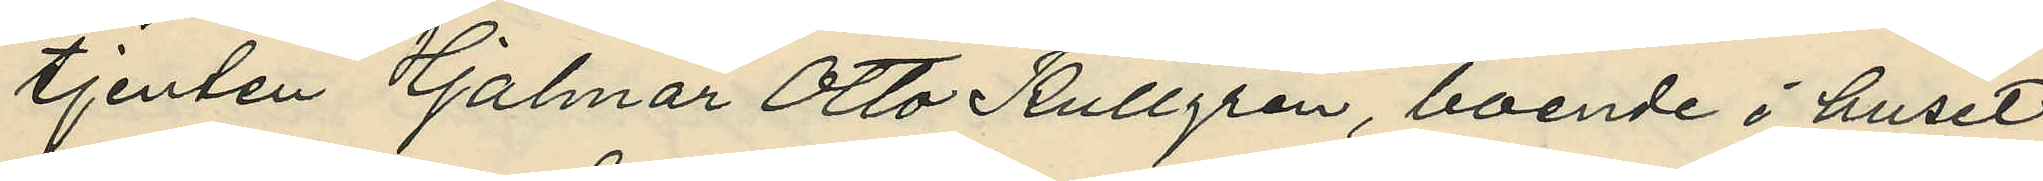tjenten Hjalmar Otto Kullgren, boende i huset
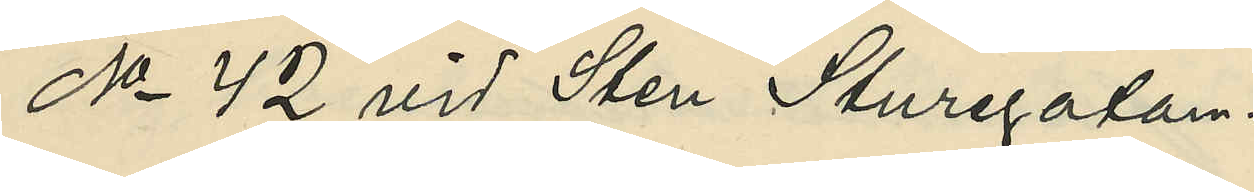No 42 vid Sten Sturegatan.
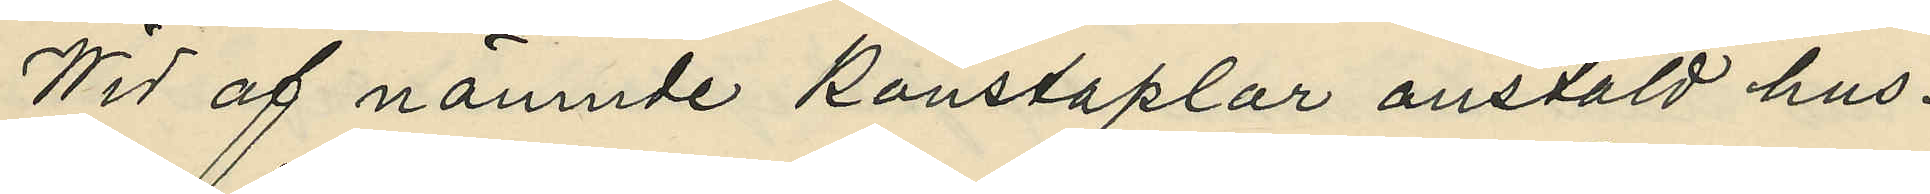Wid af nämnde konstaplar anstäld hus¬
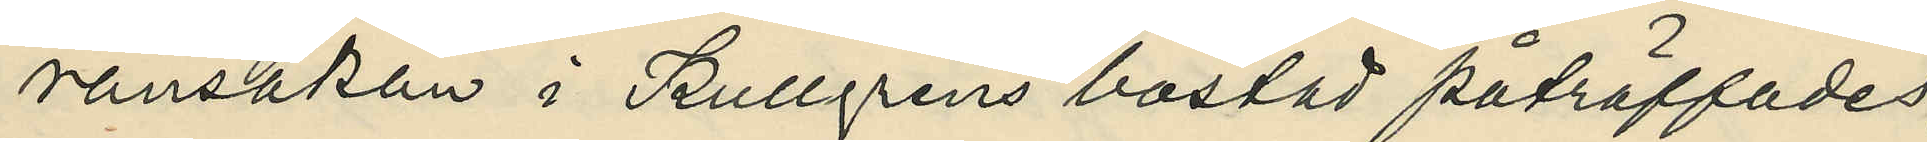ransakan i Kullgrens bostad påträffades,
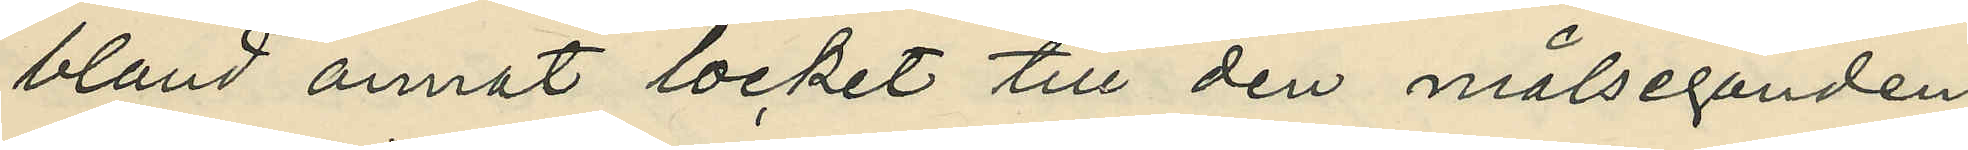bland annat, locket till den målseganden
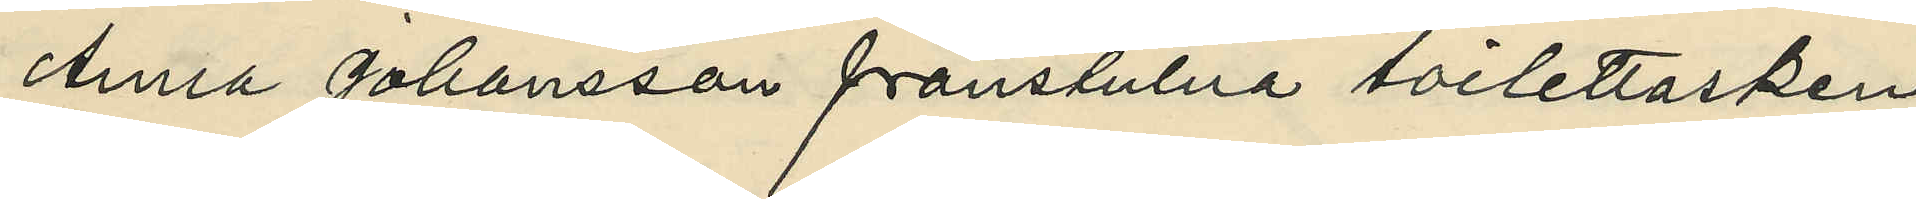Anna Johansson frånstulna toilettasken
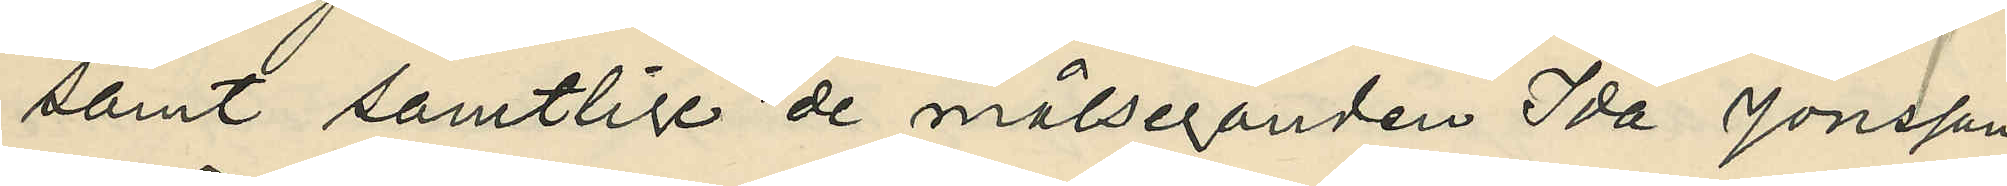samt samtlige de målseganden Ida Jonsson
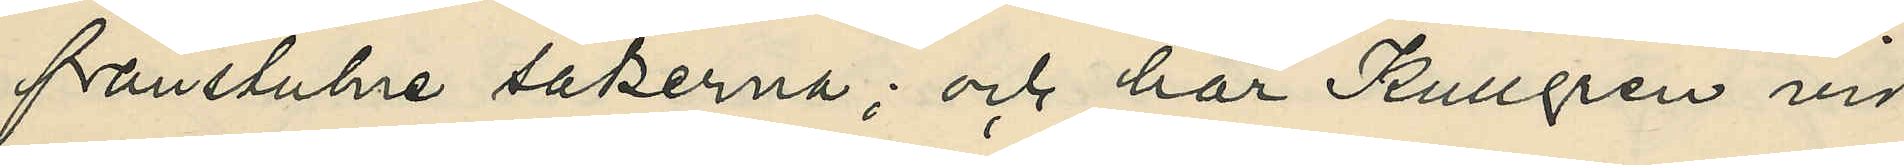frånstulne sakerna; och har Kullgren vid
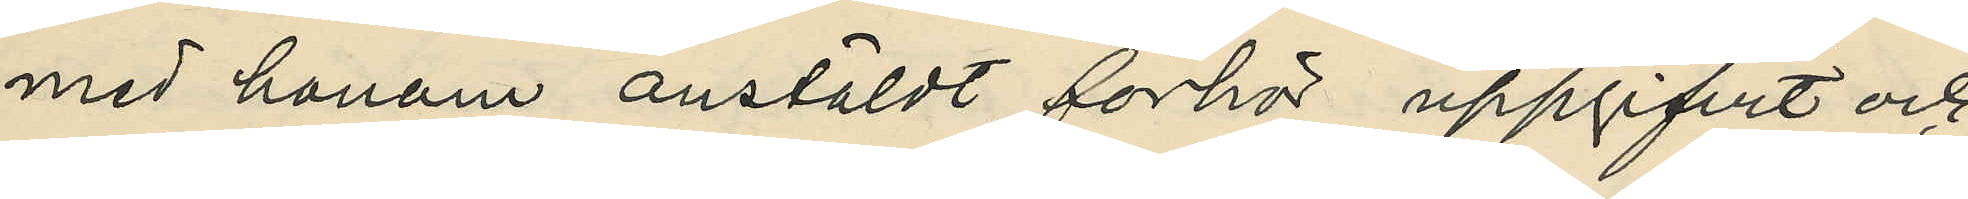med honom anstäldt förhör uppgifvit och
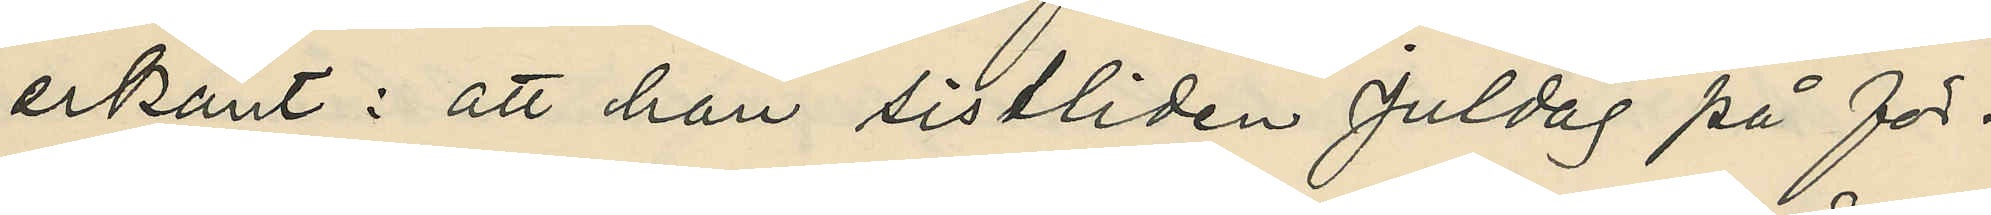erkänt: att han sistliden Juldag på för¬
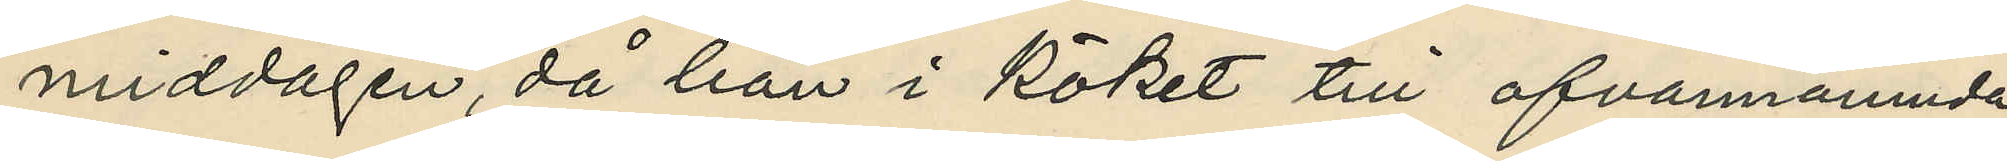middagen, då han i köket till ofvannämnda
